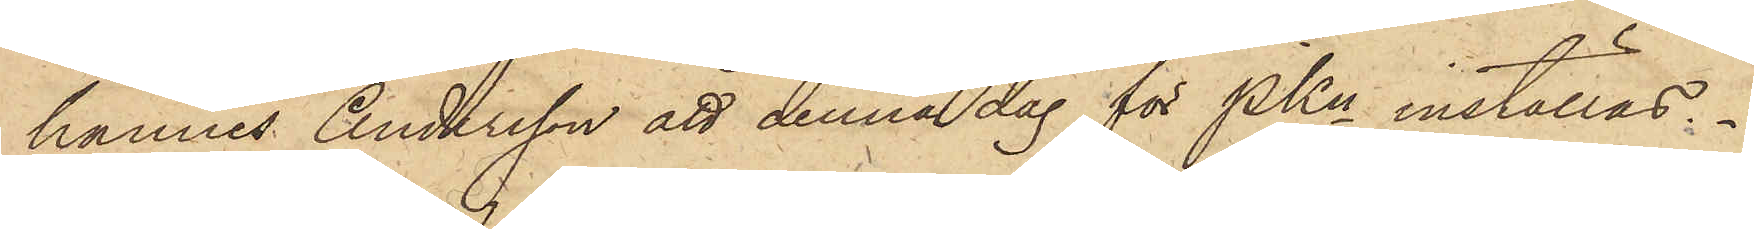hannes Andersson att denna dag för PKn inställas.
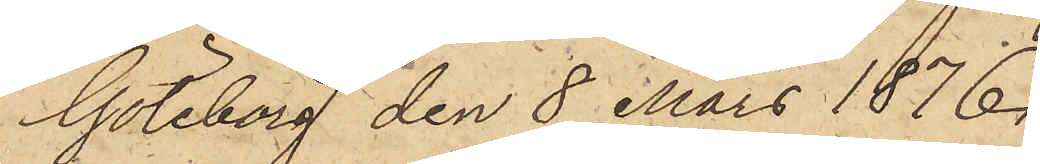Göteborg den 8 Mars 1876.
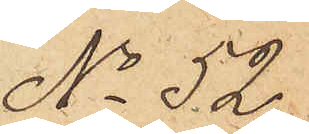No 52.
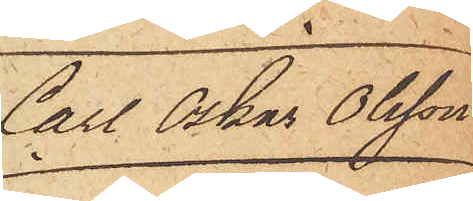Carl Oskar Olsson
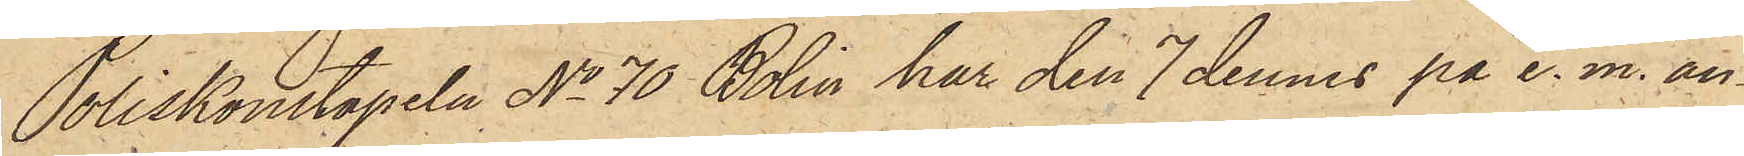Poliskonstapeln No 70 Bolin har den 7 dennes på e. m. an¬
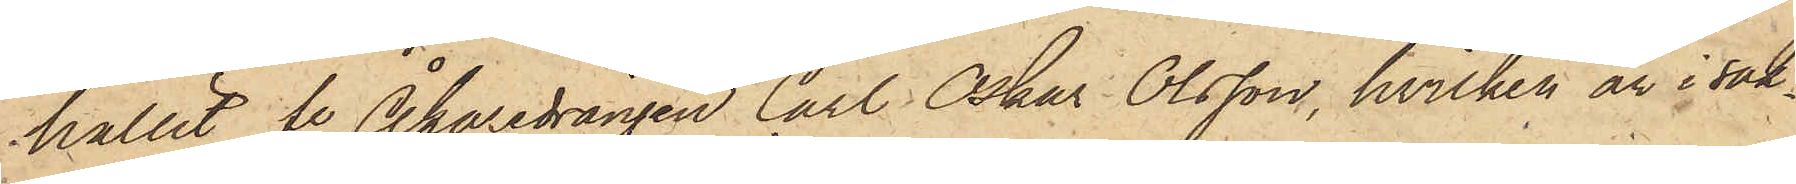hållit fe Åkaredrängen Carl Oskar Olsson, hvilken är i sak¬
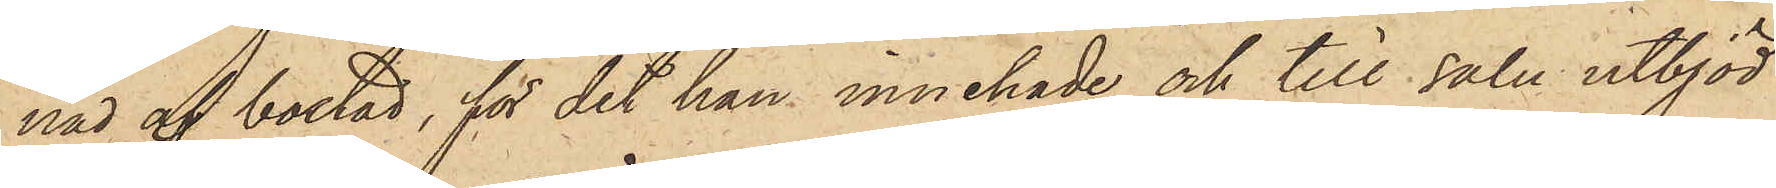nad af bostad, för det han innehade och till salu utbjöd
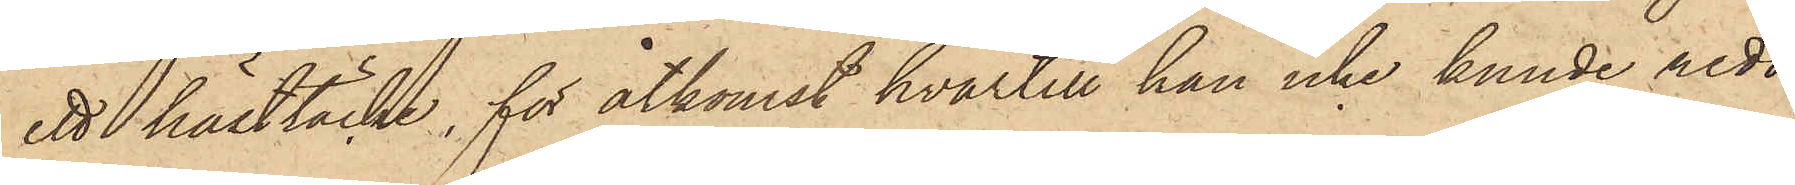ett hästtäcke, för åtkomst hvartill han icke kunde redo¬
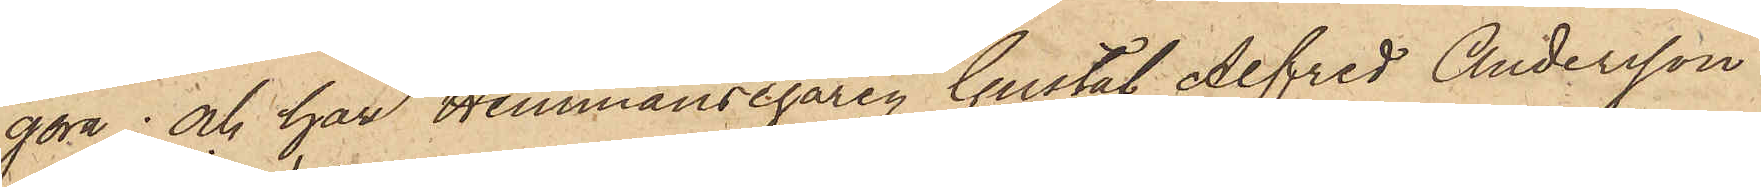göra; och har Hemmansegaren Gustaf Alfred Andersson
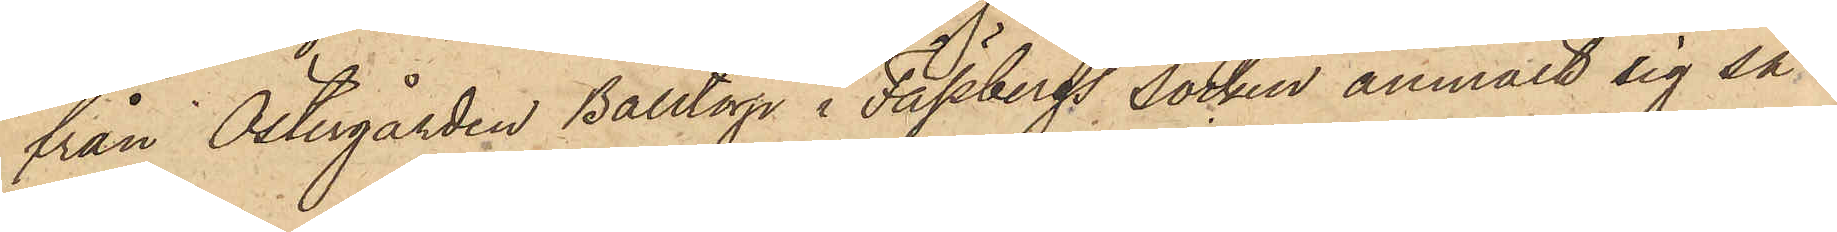från Östergården Balltorp i Fässbergs Socken anmält sig så¬
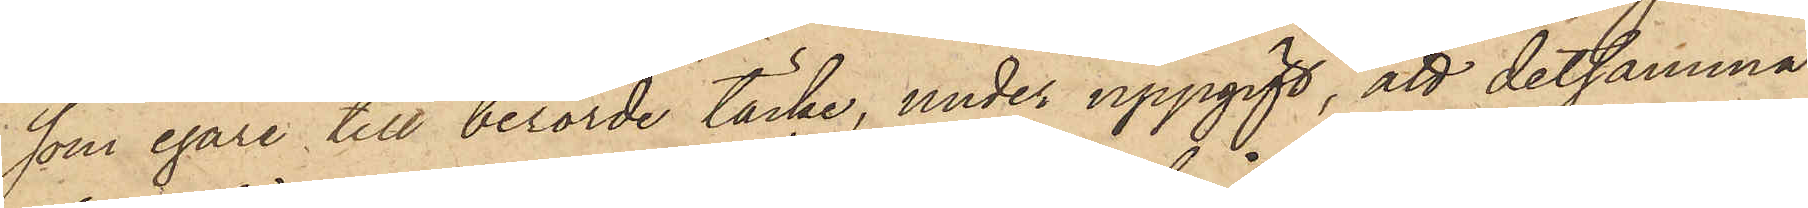som egare till berörde täcke, under uppgift, att detsamma
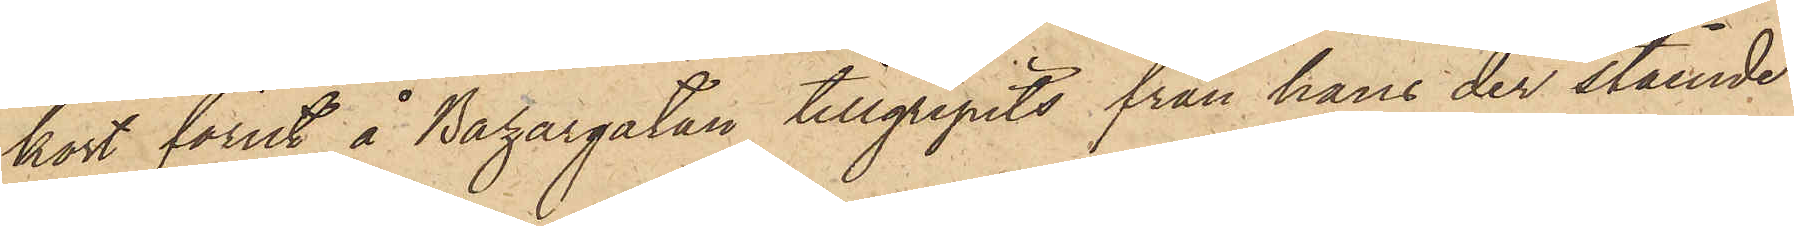kort förut å Bazargatan tillgripits från hans der stående
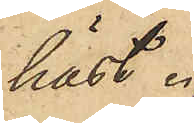häst.
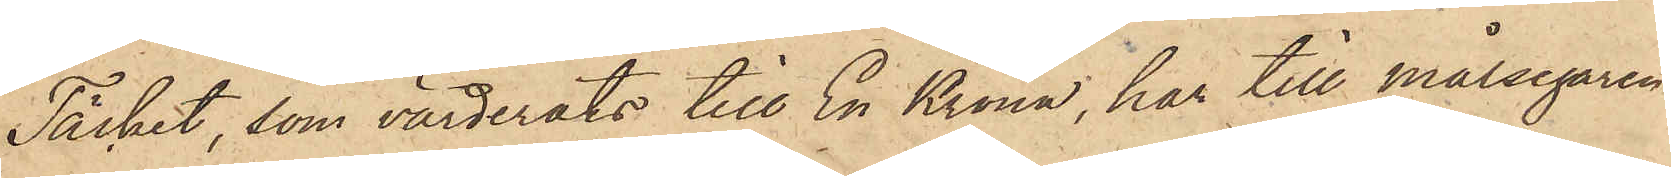Täcket, som värderats till En Krona, har till målsegaren
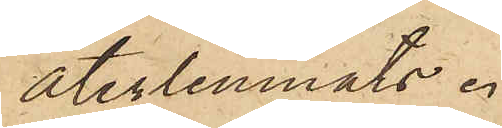återlemnats.
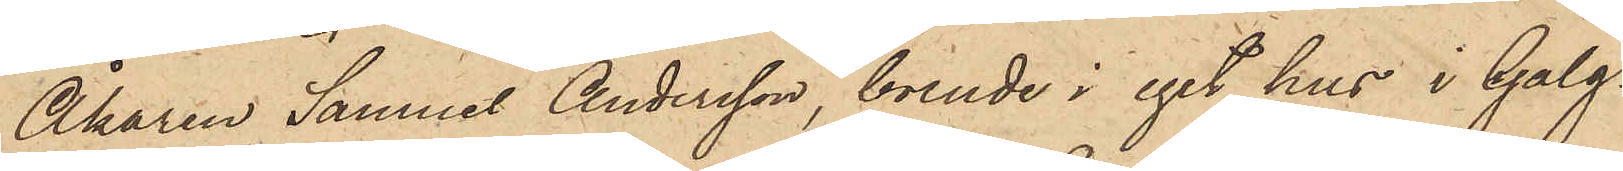Åkaren Samuel Andersson, boende i eget hus i Galg¬
